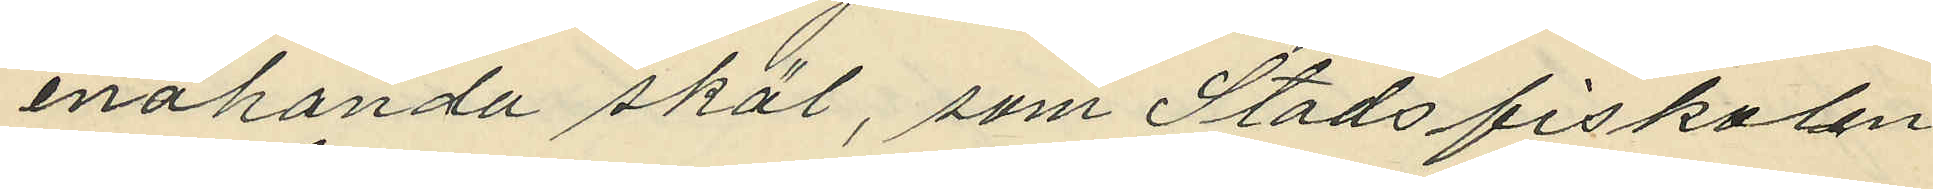enahanda skäl, som Stadsfiskalen
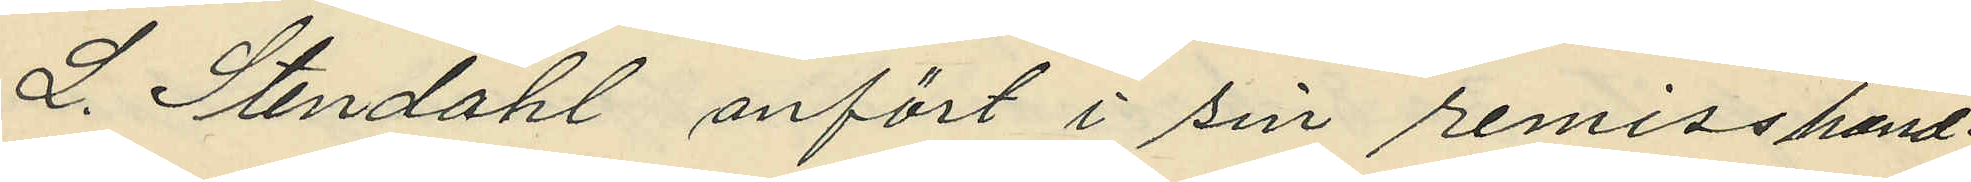L. Stendahl anfört i sin remisshand¬
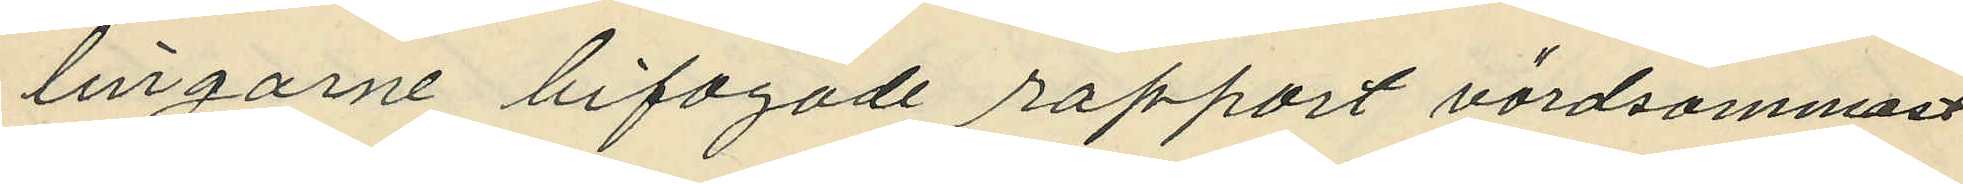lingarne bifogade rapport vördsammast
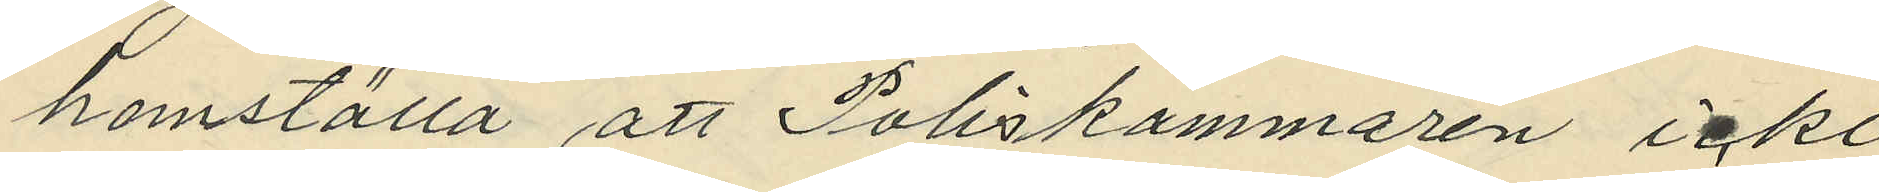hemställa att Poliskammaren icke
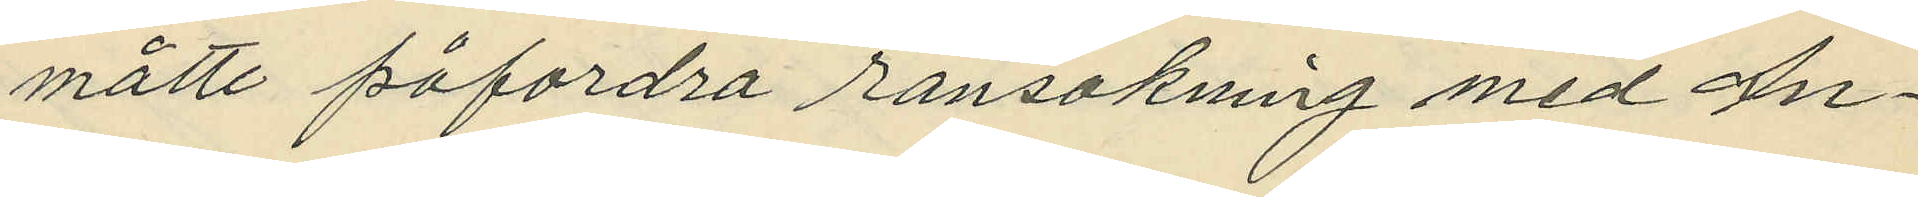måtte påfordra ransakning med An¬
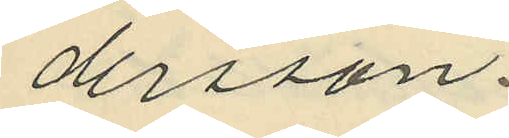dersson.
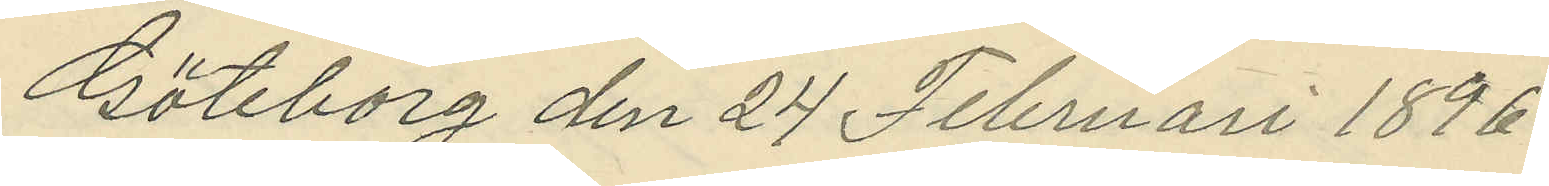Göteborg den 24 Februari 1896.
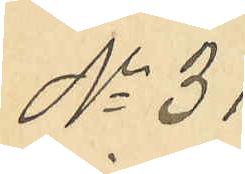No 31
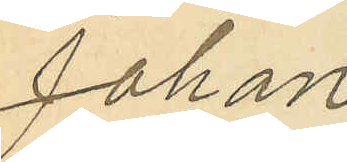Johan
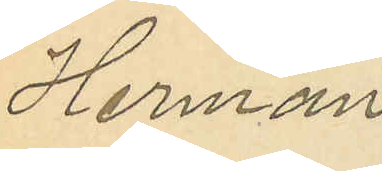Herman
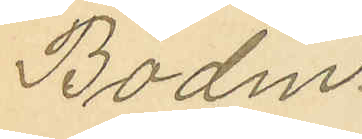Bodin.
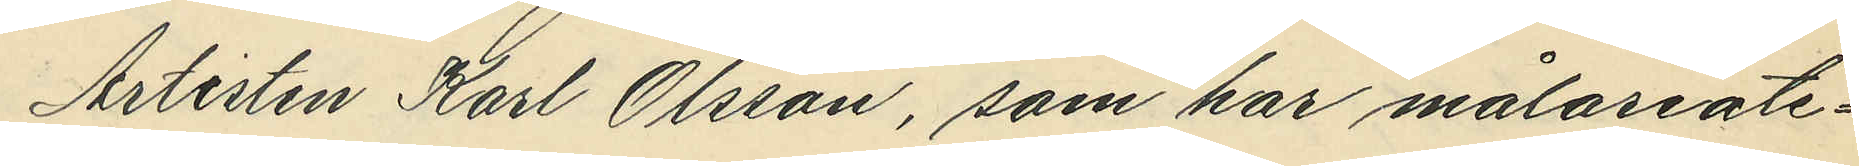Artisten Karl Olsson, som har målareate¬
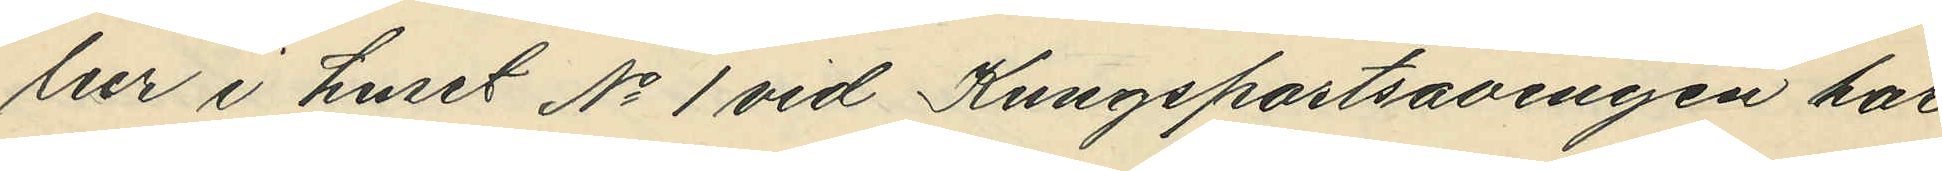lier i huset No 1 vid Kungsportsavenyen har
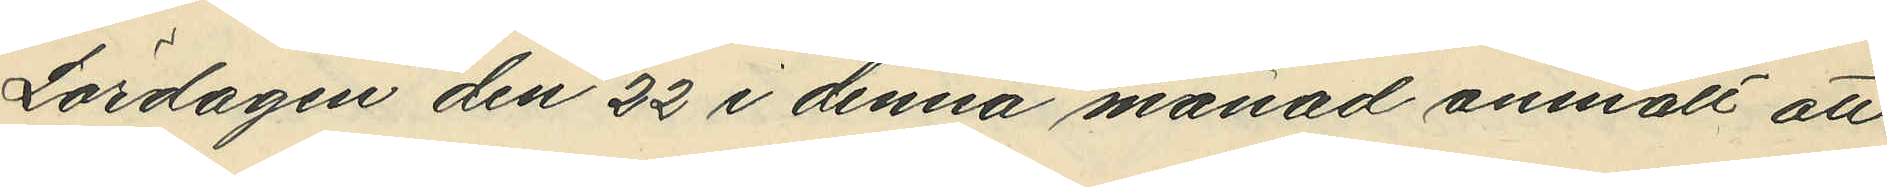Lördagen den 22 i denna månad anmält att
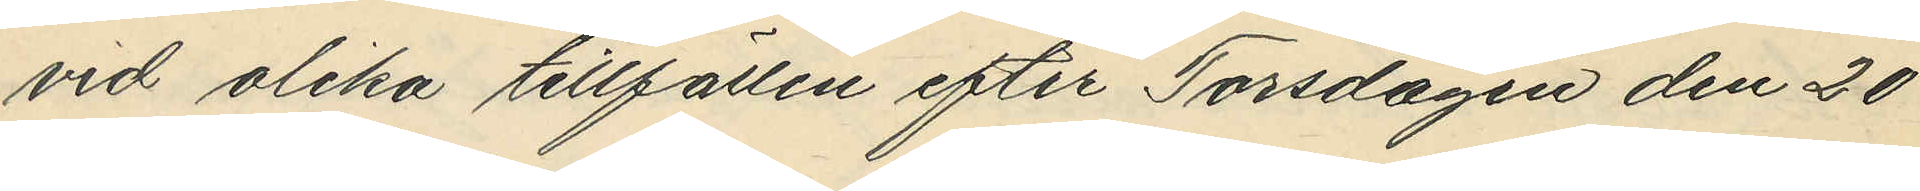vid olika tillfällen efter Torsdagen den 20
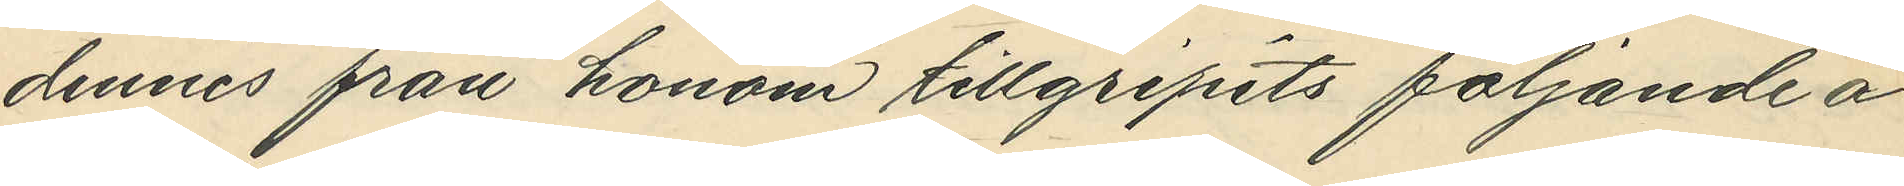dennes från honom tillgripits följande å
